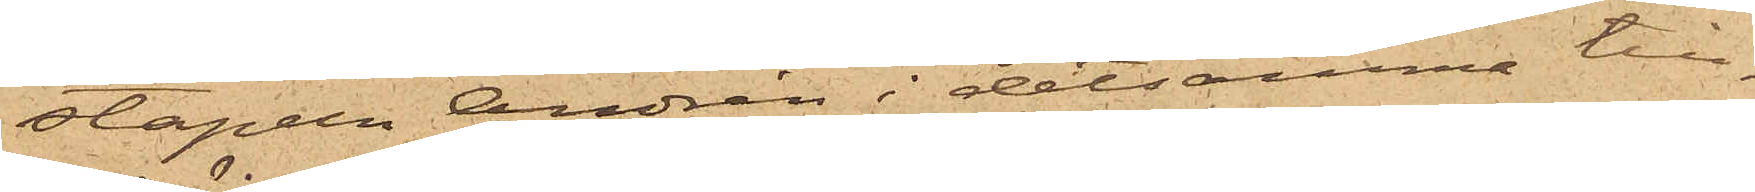stapeln Andrén i detsamma till¬
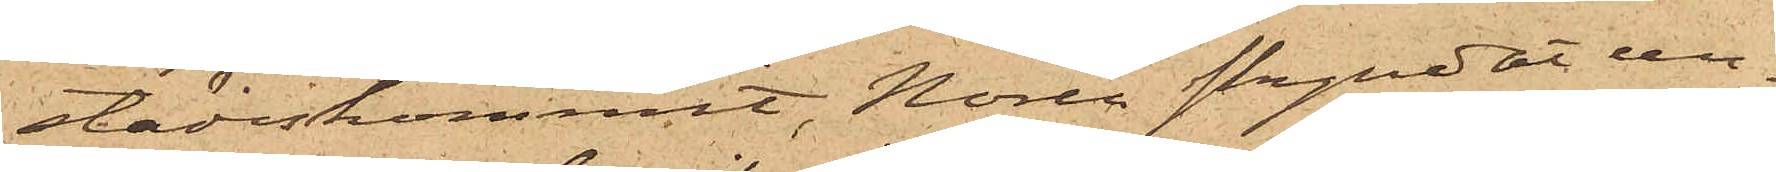städeskommit, Norén skyndat un¬
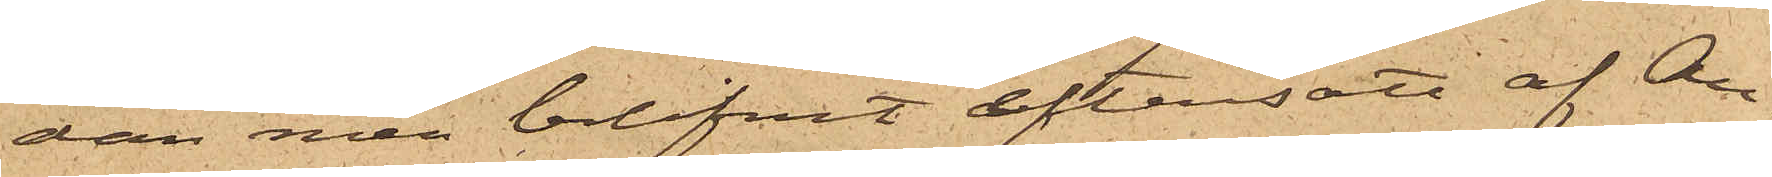dan men blifvit eftersatt af An¬
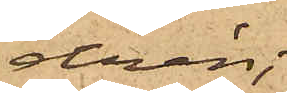drén;
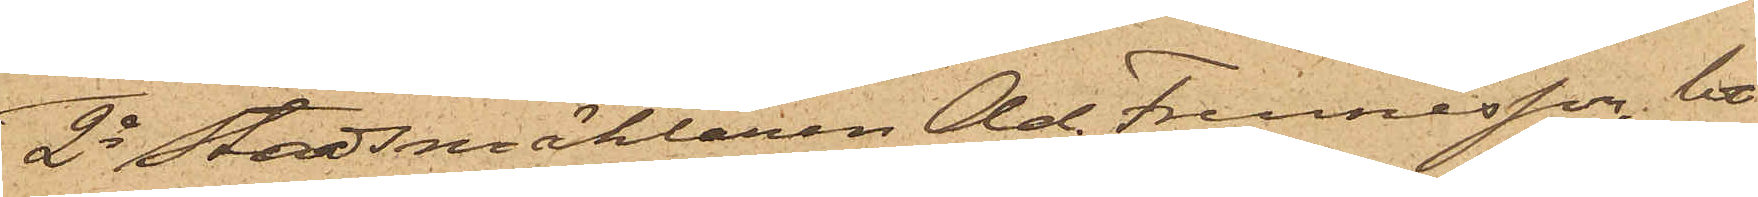2o Stadsmäklaren Ad. Frennesson, bo¬
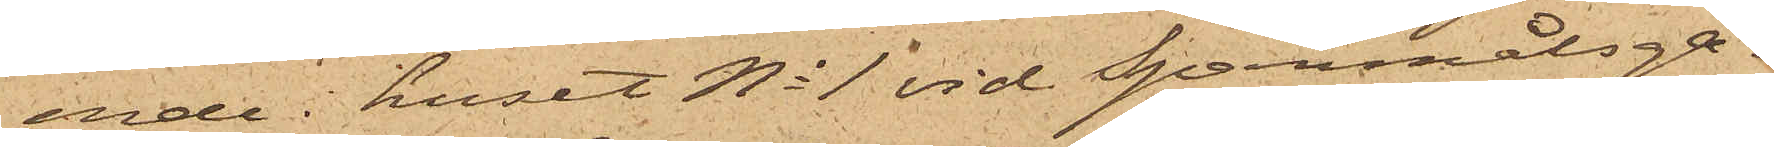ende i huset No 1 vid Spanmålsga¬
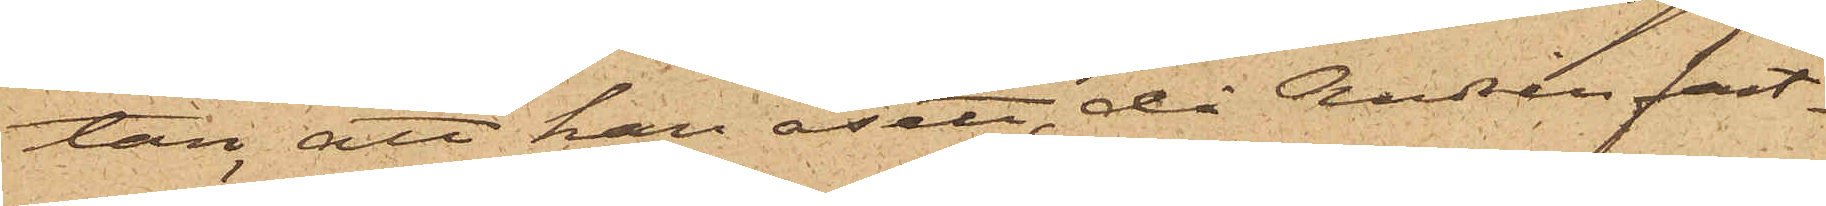tan, att han åsett, då Andrén fast¬
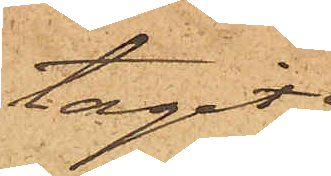tagit
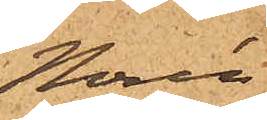Norén,
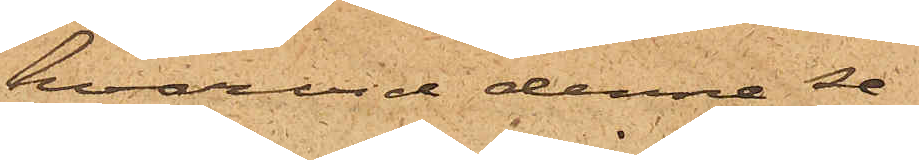hvarvid denne se¬
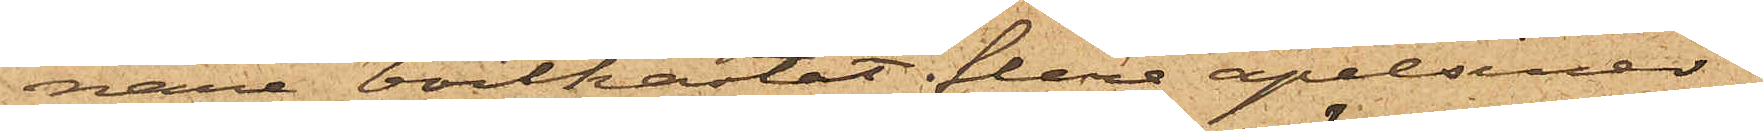nare bortkastat flere apelsiner,
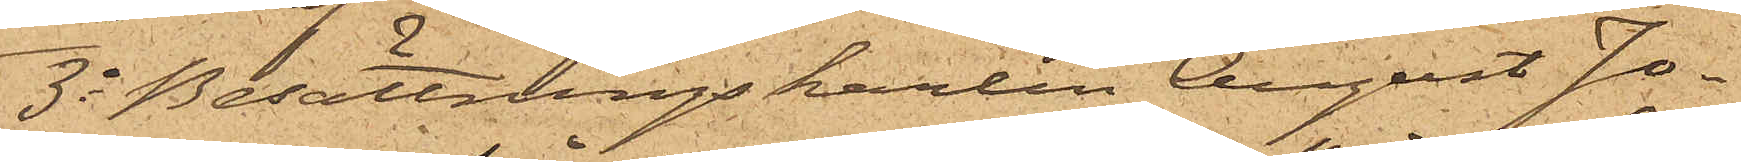3o Besättningskarlen August Jo¬
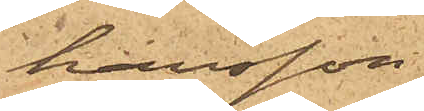hansson
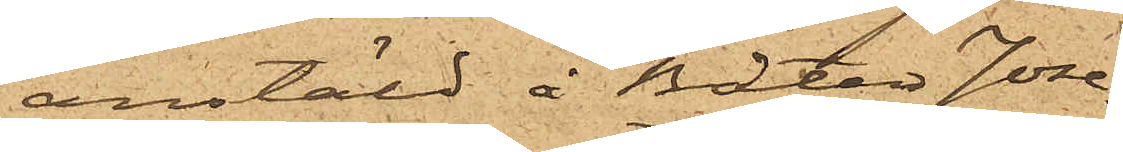anstäld å Båten Jose¬
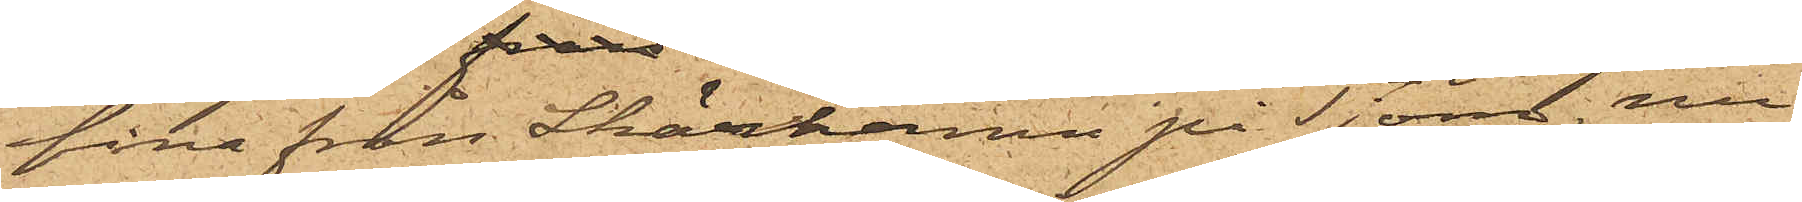fina från Skärhamn på Tjörn, nu
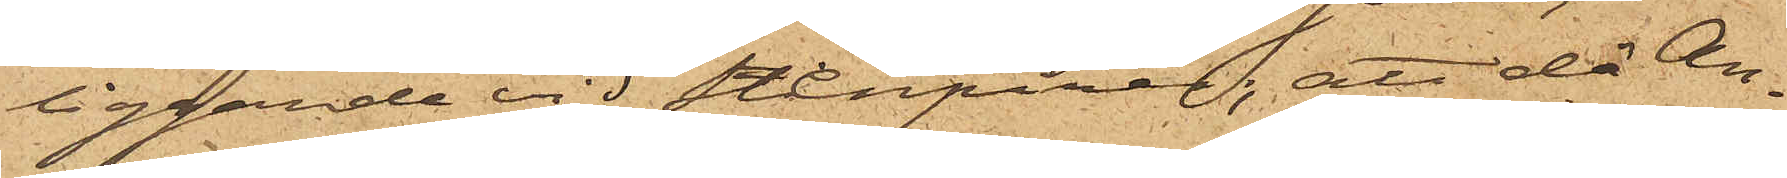liggande vid Stenpiren; att då An¬
